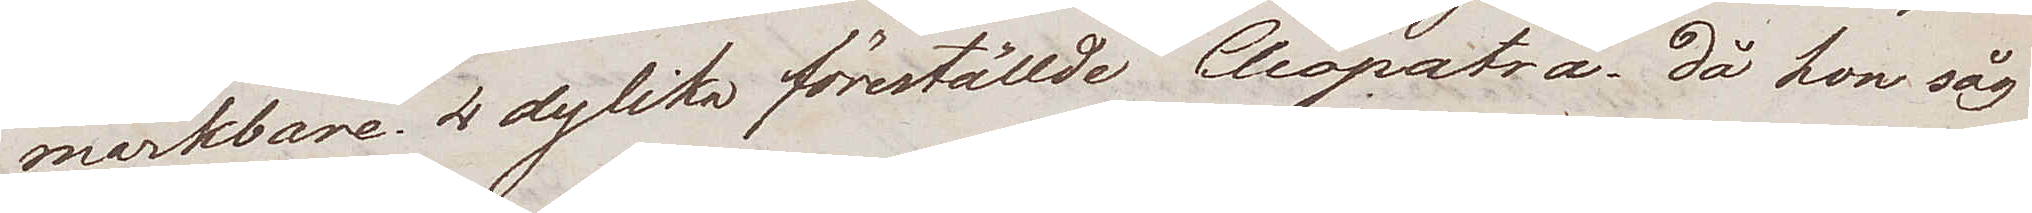märkbare. 4 dylika föreställde Cleopatra, då hon såg
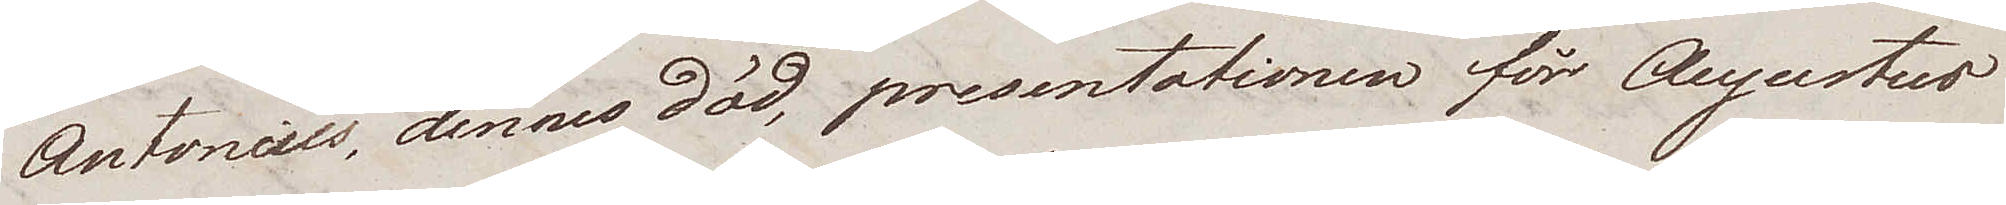Antonius, dennes död, presentationen för Augustus
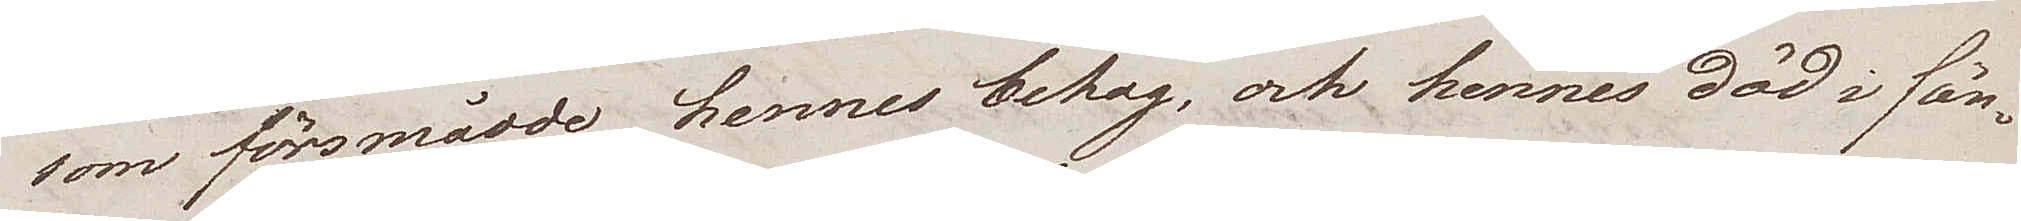som försmådde hennes behag, och hennes död i fän¬
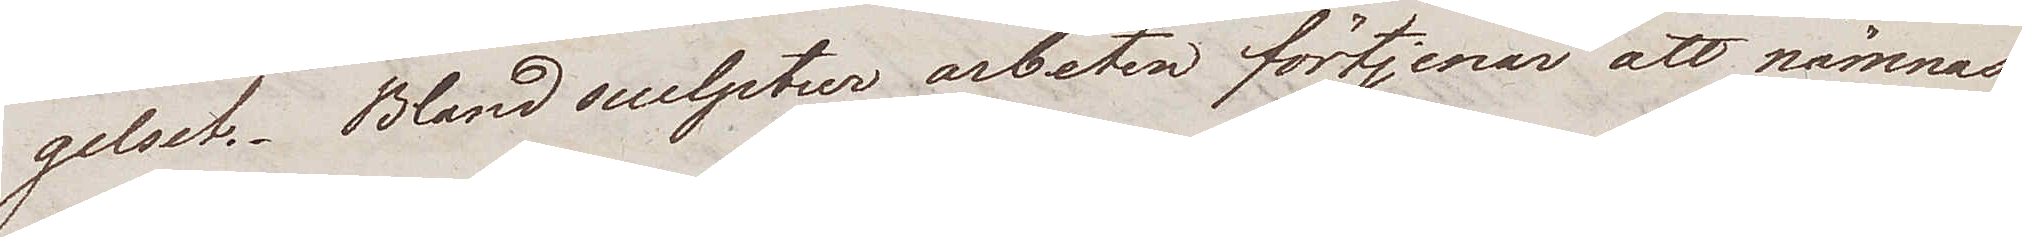gelset. Bland sculptur arbeten förtjenar att nämnas
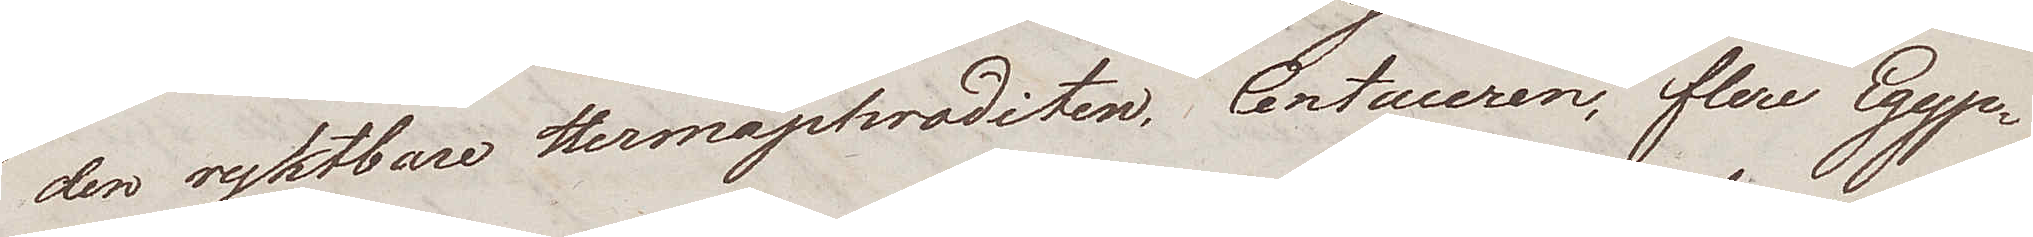den ryktbare Hermaphroditen, Centauren, flere Egyp¬
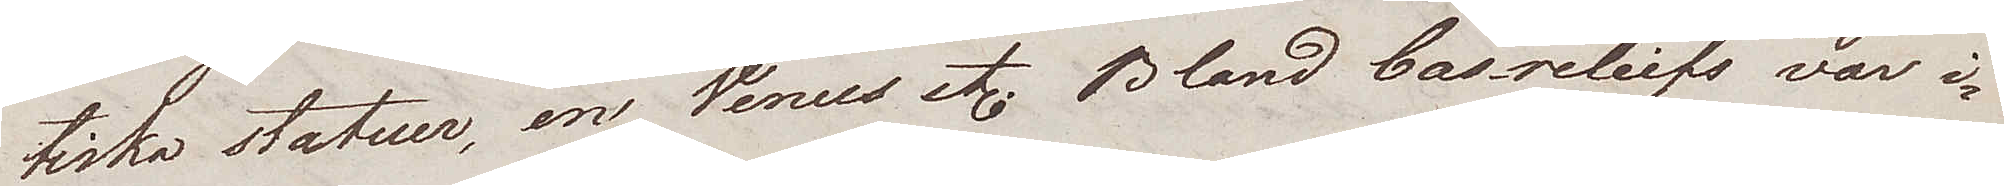tiska statuer, en Venus etc. Bland basreliefs var i
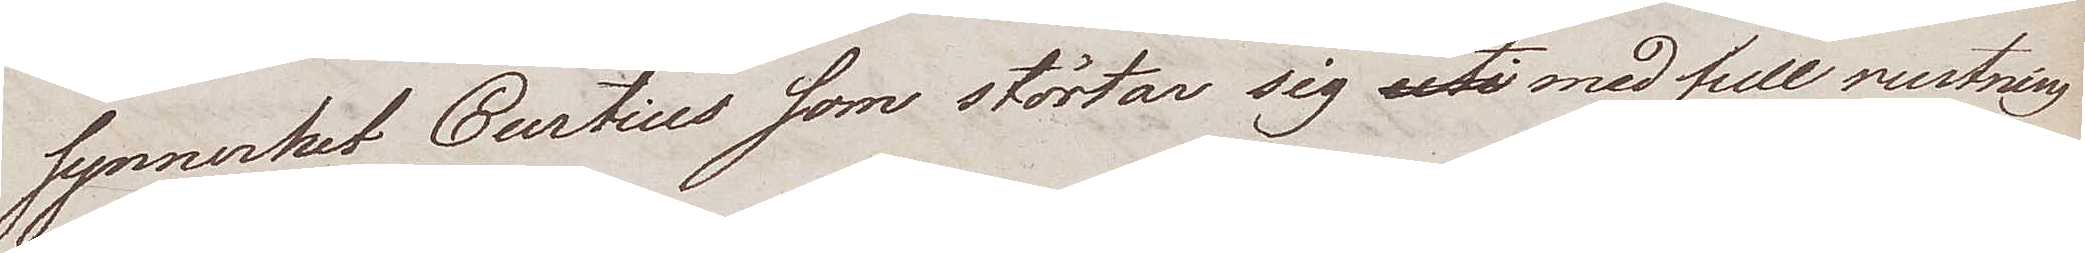synnerhet Curtius som störtar sig uti med full rustning
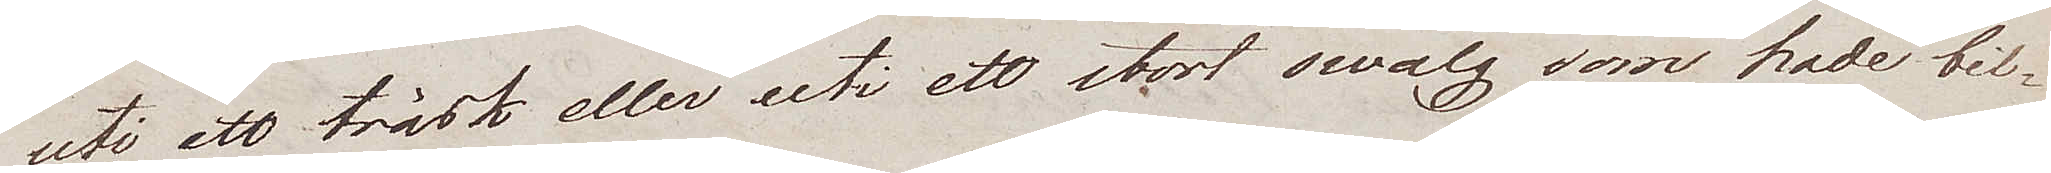uti ett träsk eller uti ett stort swalg som hade bil¬
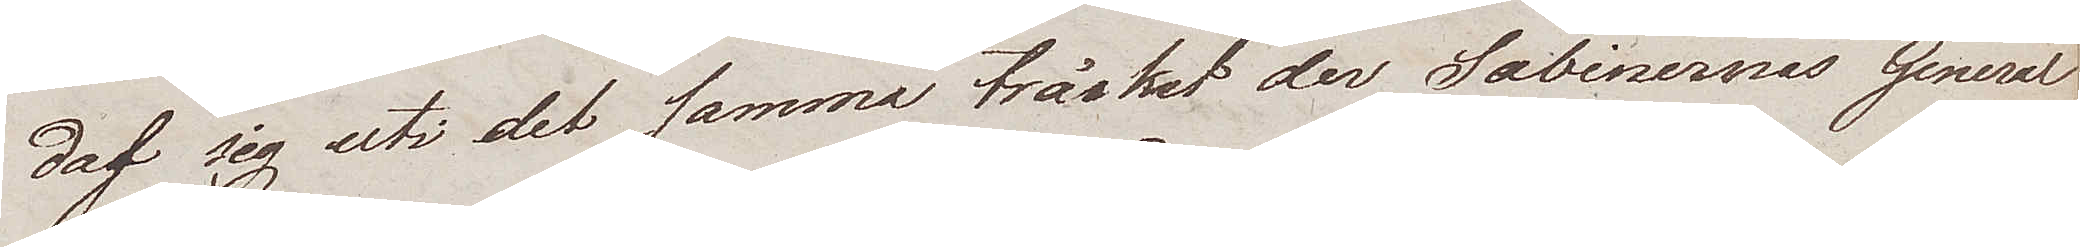daf sig uti det samma träsket der Sabinernas General
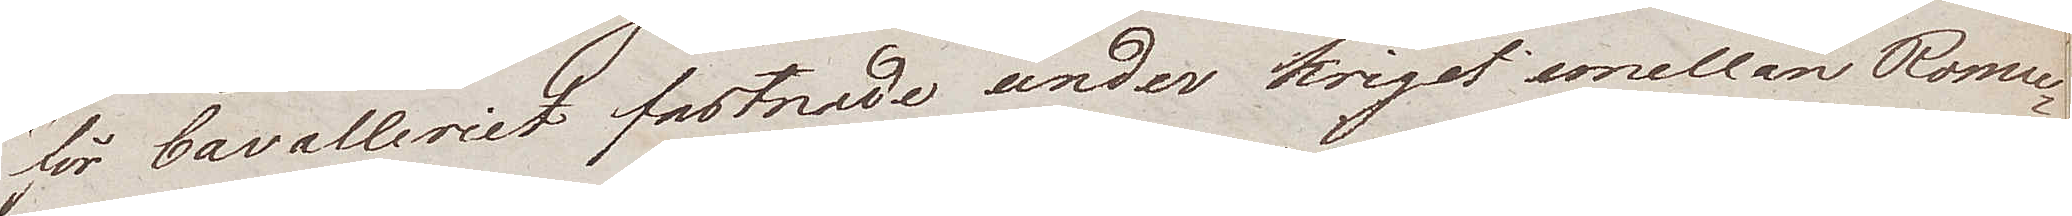för Cavalleriet fastnade under kriget emellan Romu¬
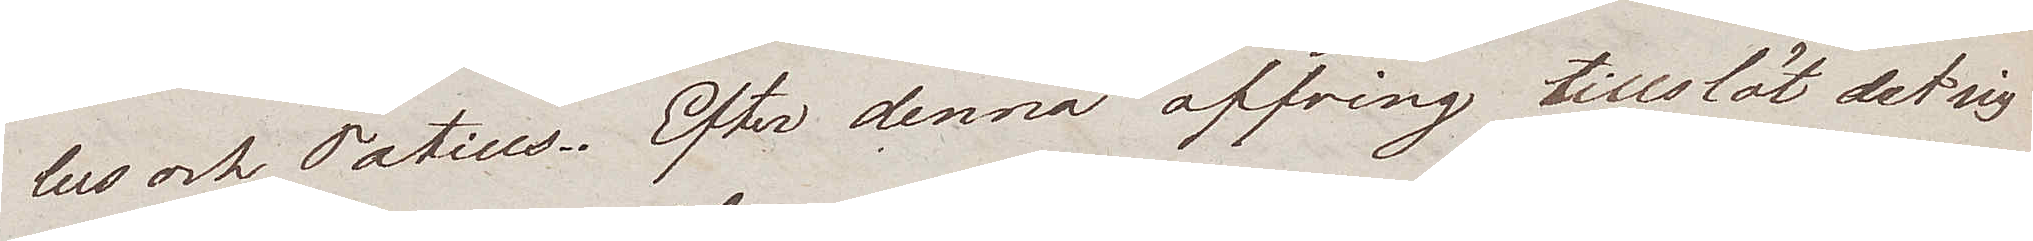lus och Tatius. Efter denna offring tillslöt det sig
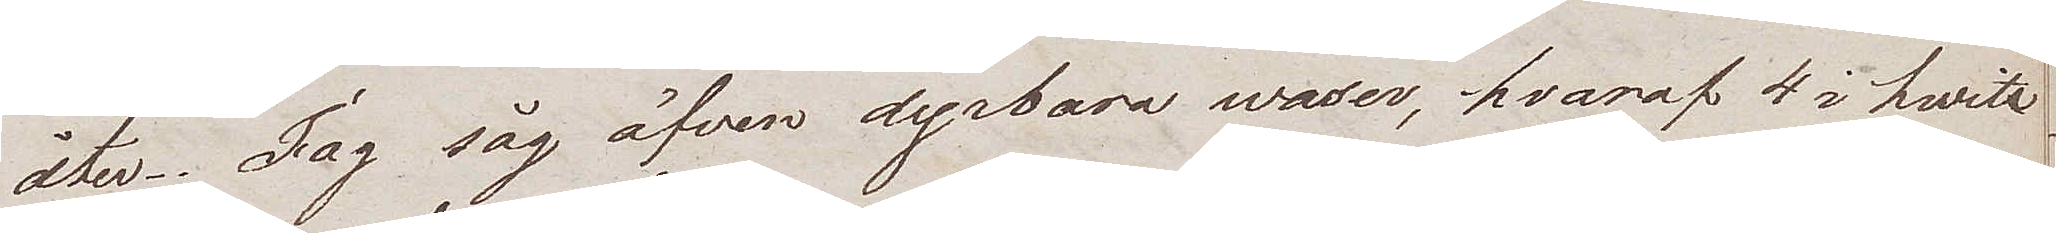åter. Jag såg äfven dyrbara waser, hvaraf 4 i hwite
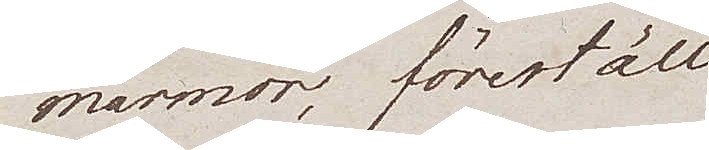marmor, föreställ¬
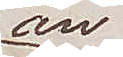an¬
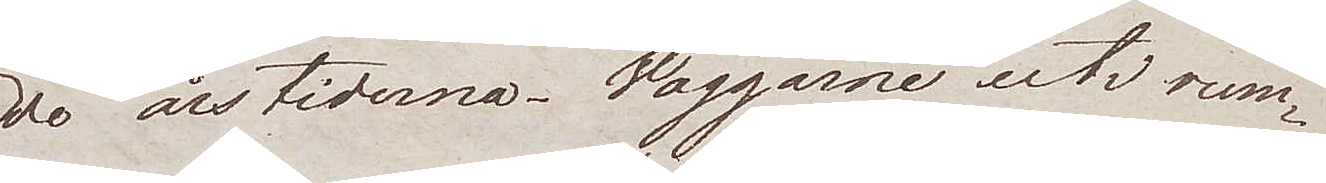de årstiderna. Väggarne uti rum¬
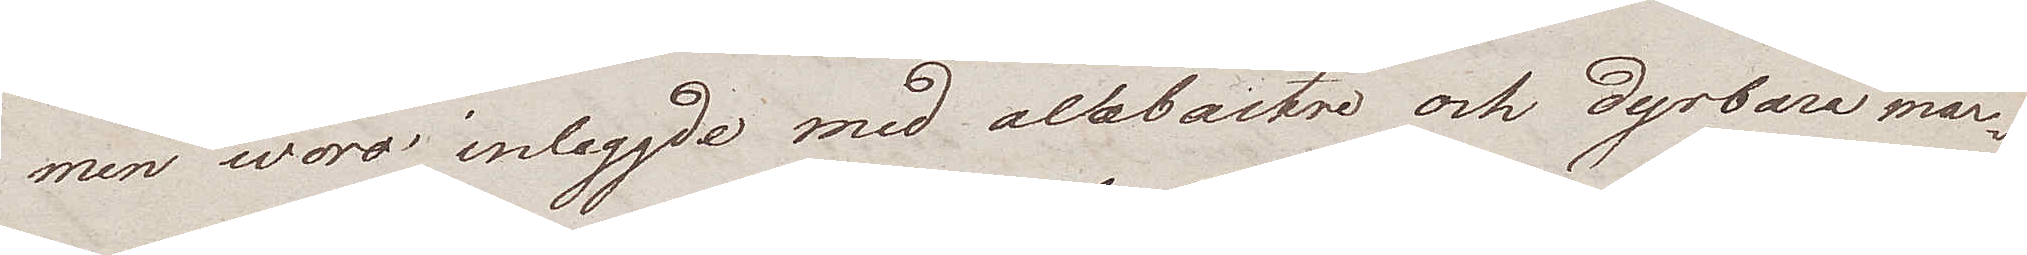men woro inlaggde med altbastre och dyrbara mar¬
